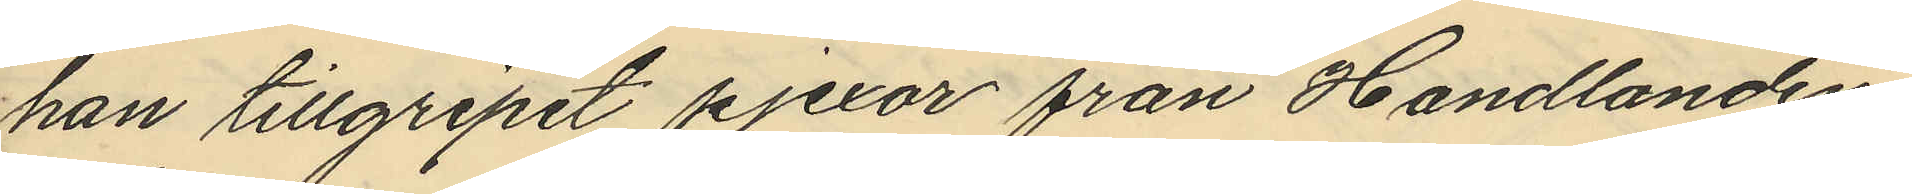han tillgripit pjexor från Handlanden
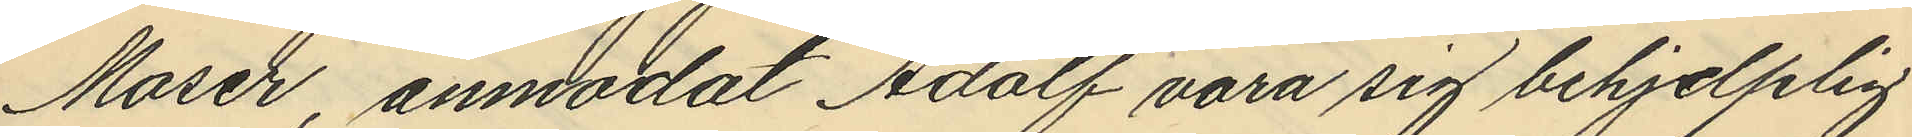Moser, anmodat Adolf vara sig behjelplig
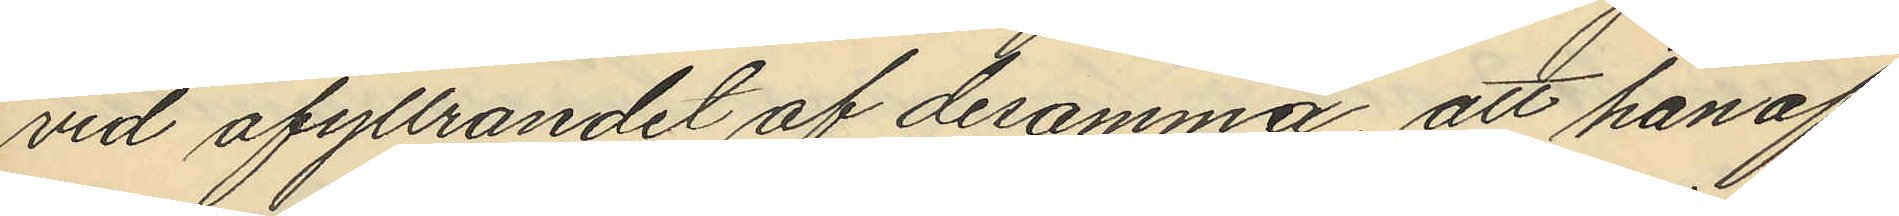vid afyttrandet af desamma, att han af
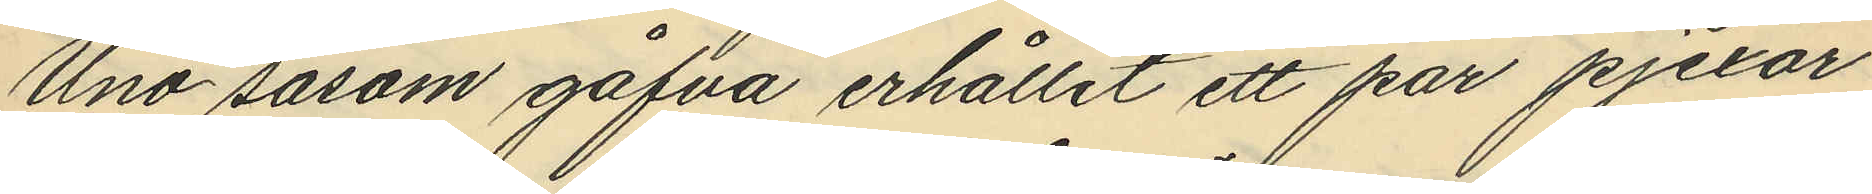Uno såsom gåfva erhållit ett par pjexor
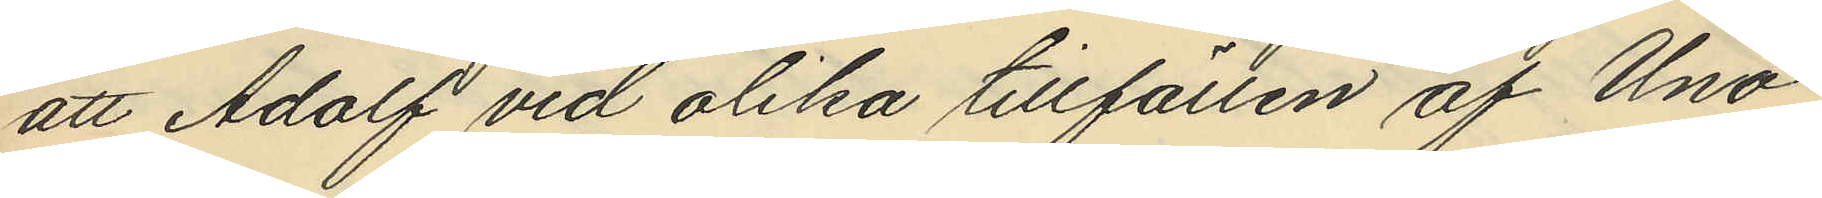att Adolf vid olika tillfällen af Uno
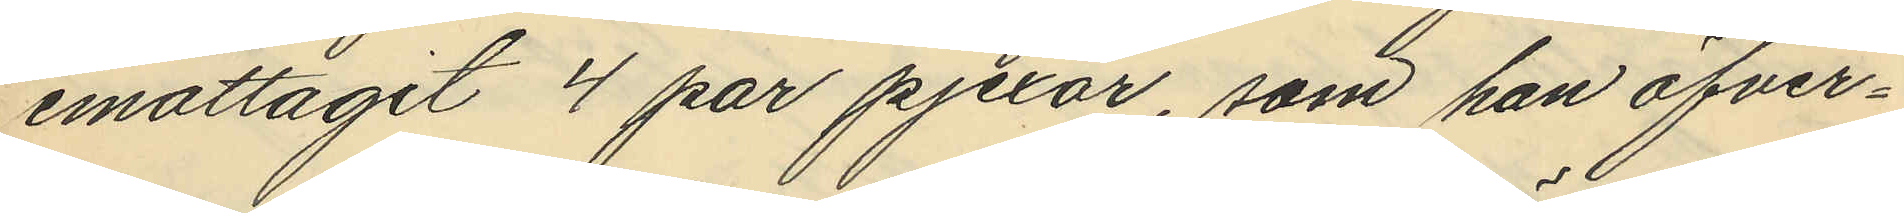emottagit 4 par pjexor, som han öfver¬
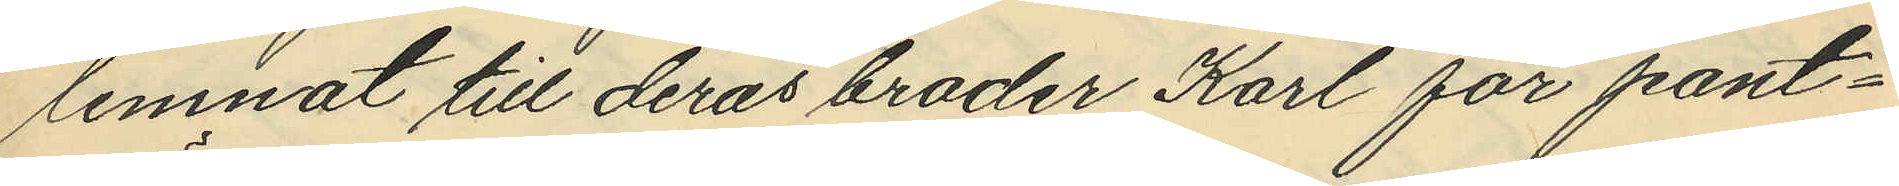lemnat till deras broder Karl för pant¬
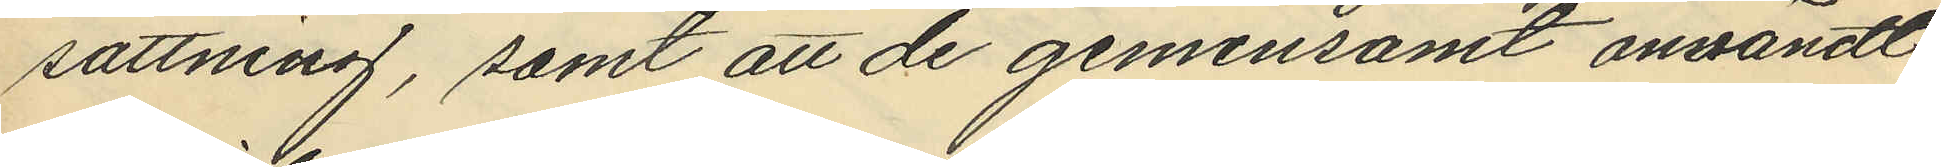sättning, samt att de gemensamt användt
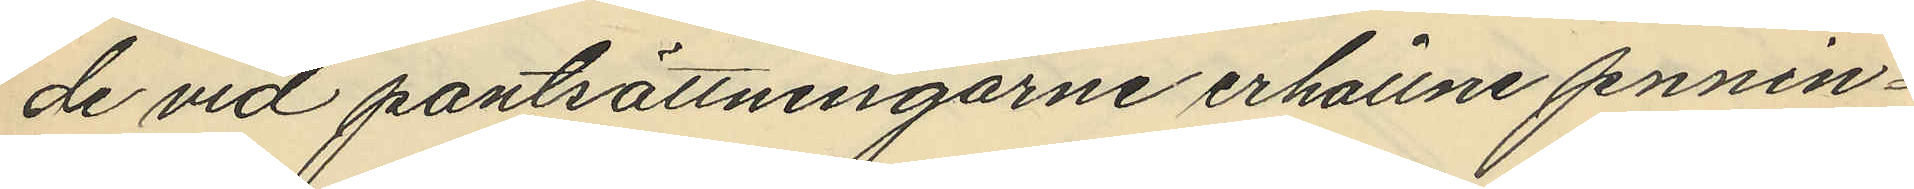de vid pantsättningarne erhållne pennin¬
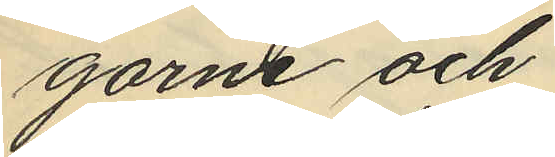garne och
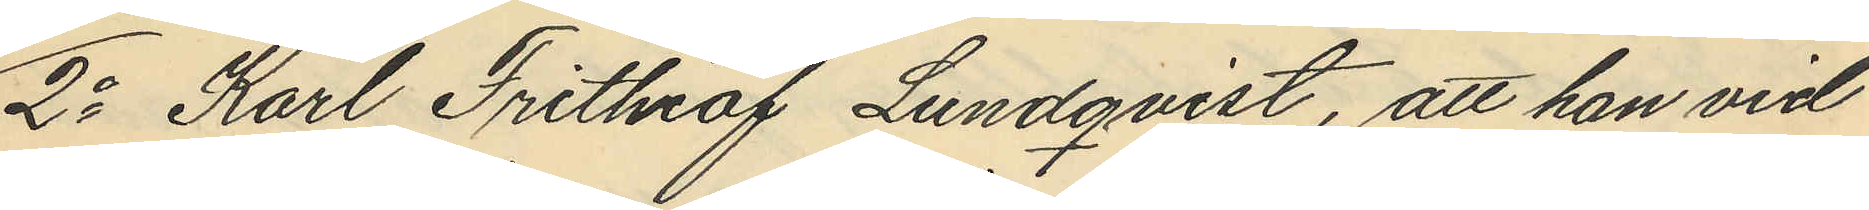2o Karl Frithiof Lundqvist, att han vid
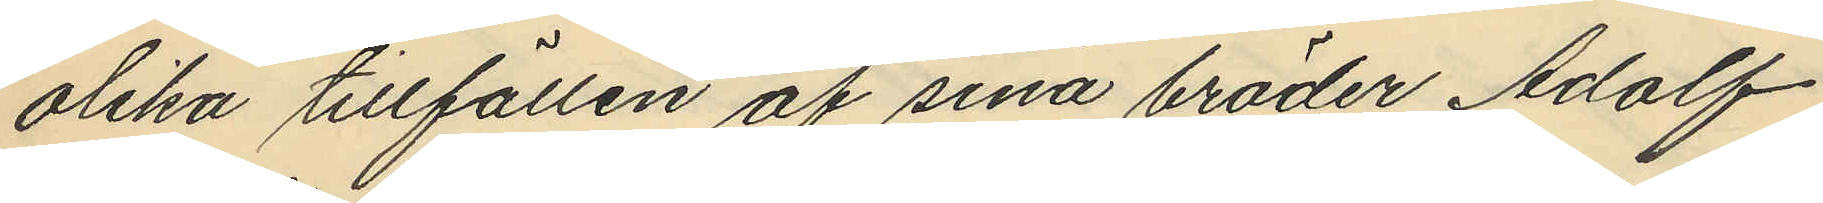olika tillfällen af sina bröder Adolf
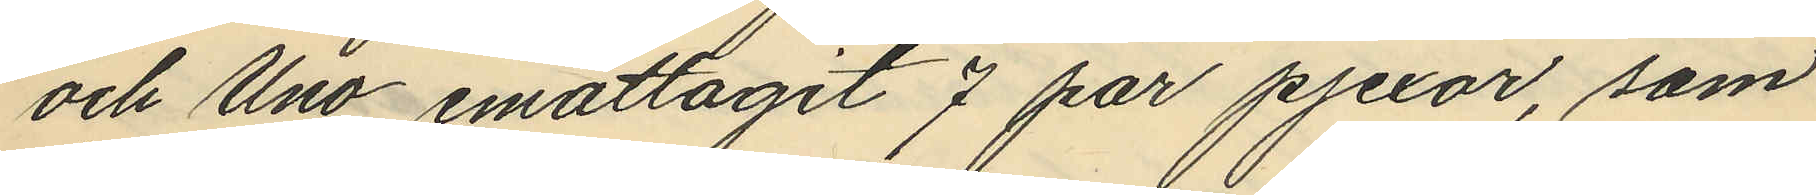och Uno emottagit 7 par pjexor, som
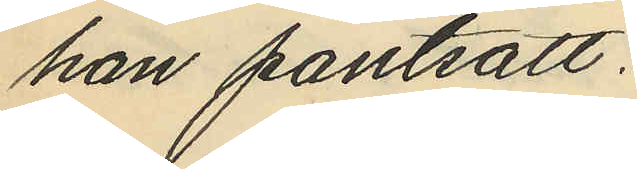han pantsatt.
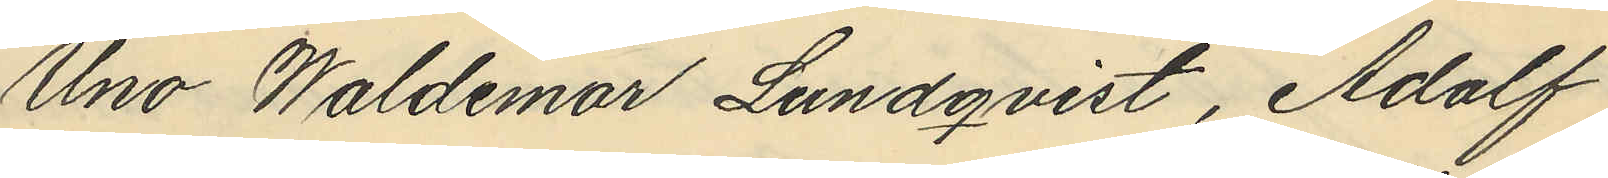Uno Waldemar Lundqvist, Adolf
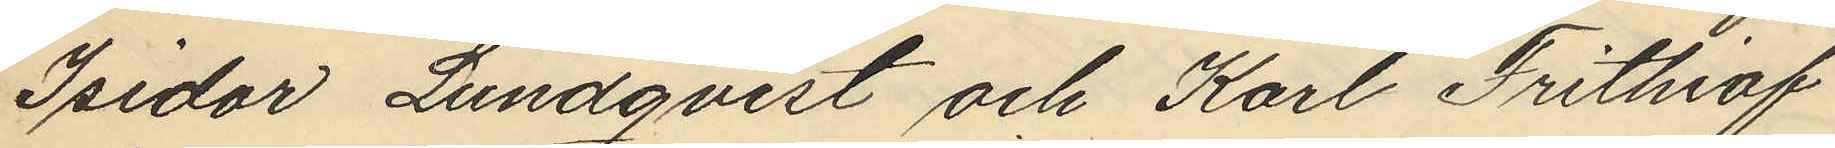Isidor Lundqvist och Karl Frithiof
